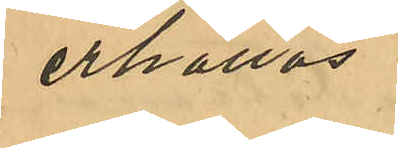erhållas.
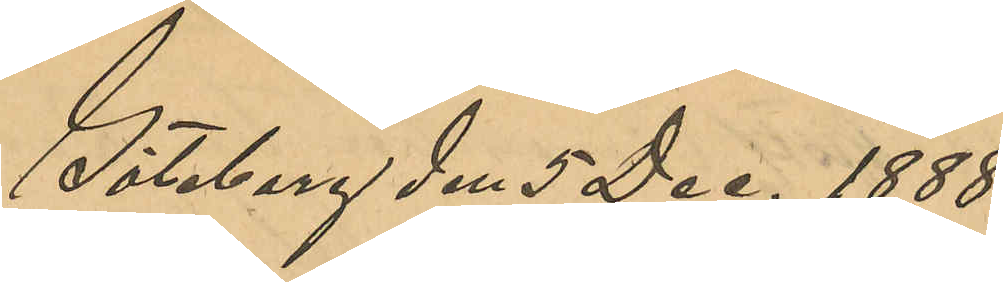Göteborg den 5 Dec. 1888.
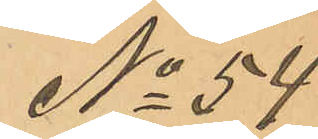No 54
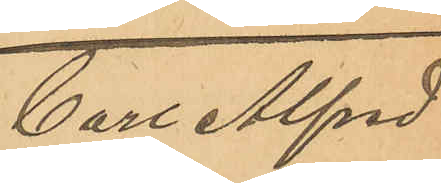Carl Alfred
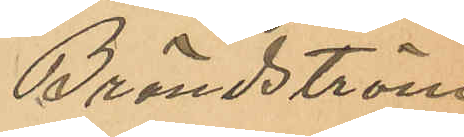Brändström
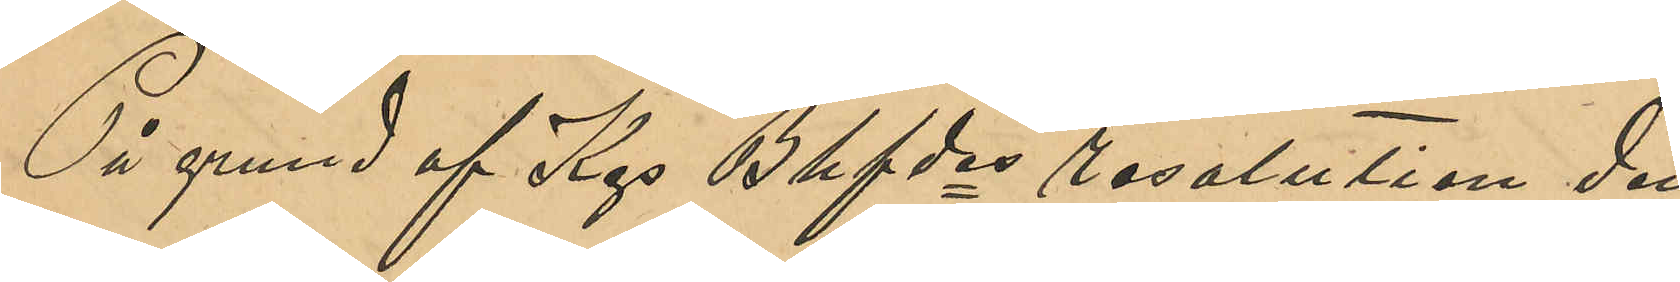På grund af Kgs Bhfdes resolution den
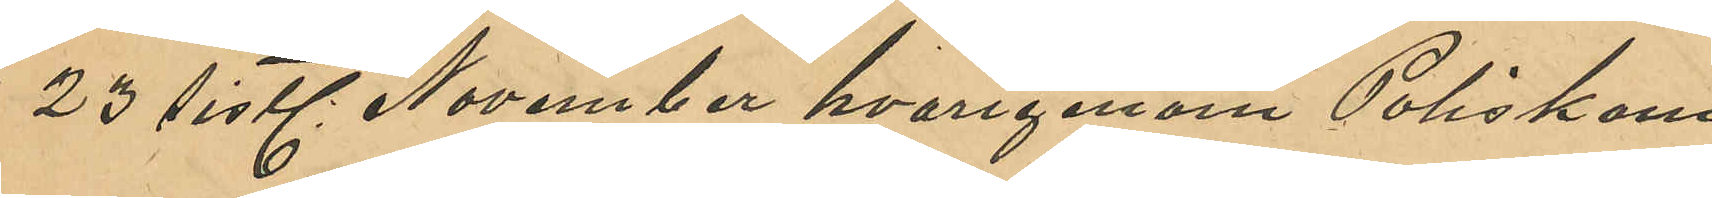23 sistl November hvarigenom Poliskam¬
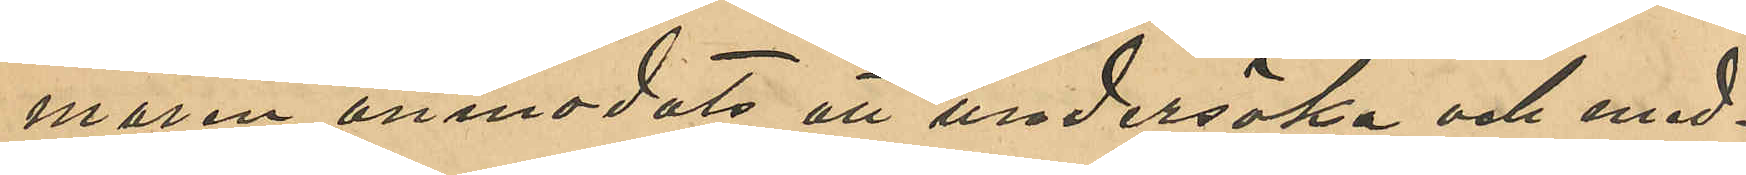maren anmodats att undersöka och med¬
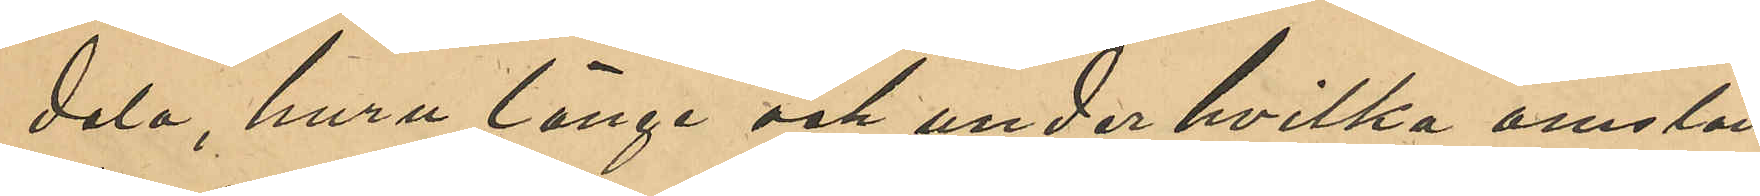dela, huru länge och under hvilka omstän¬
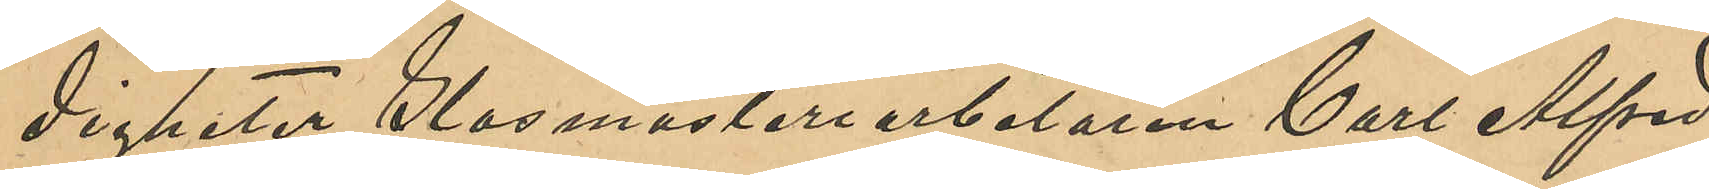digheter Glasmästeriarbetaren Carl Alfred
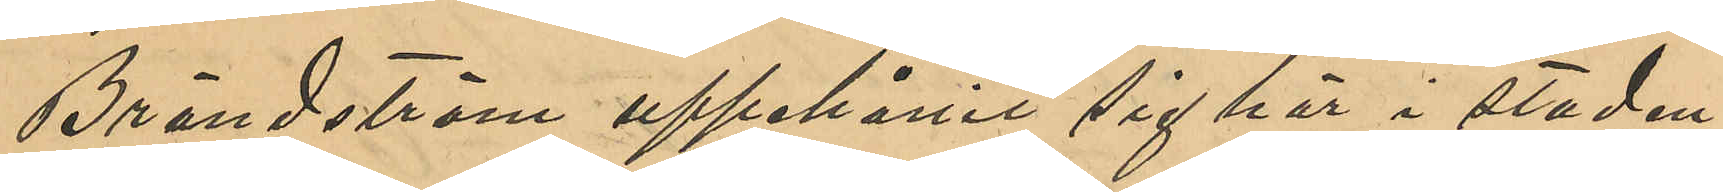Brändström uppehållit sig här i staden,
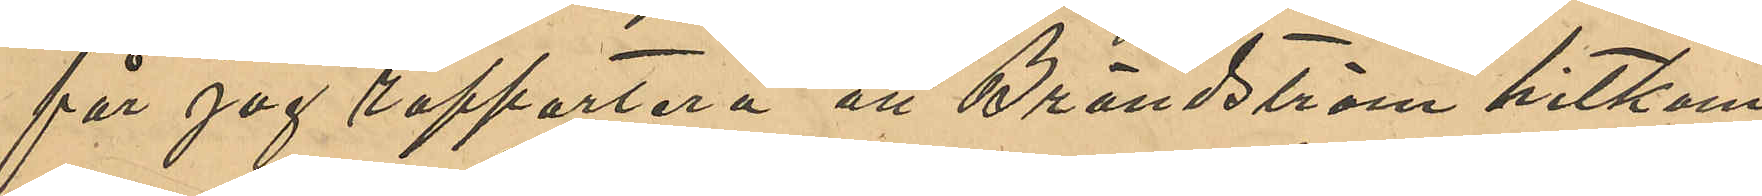får jag rapportera att Brändström hitkom¬
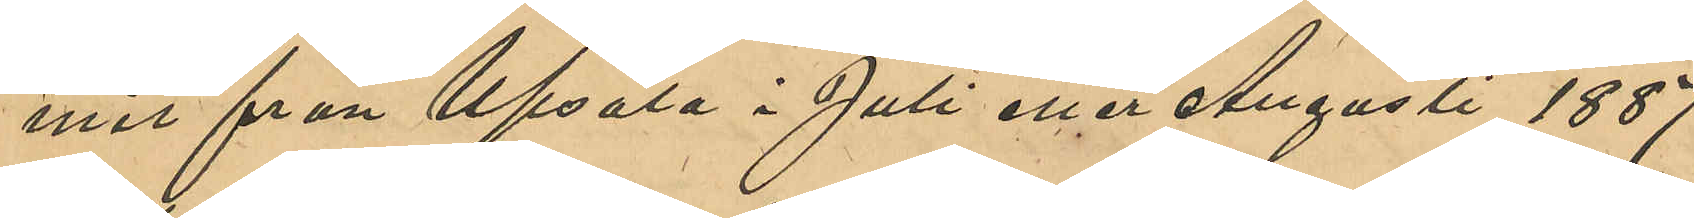mit från Upsala i Juli eller Augusti 1887
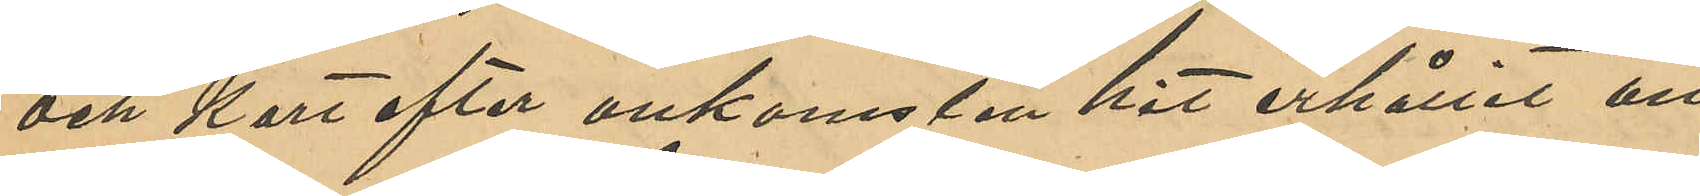och kort efter ankomsten hit erhållit an¬
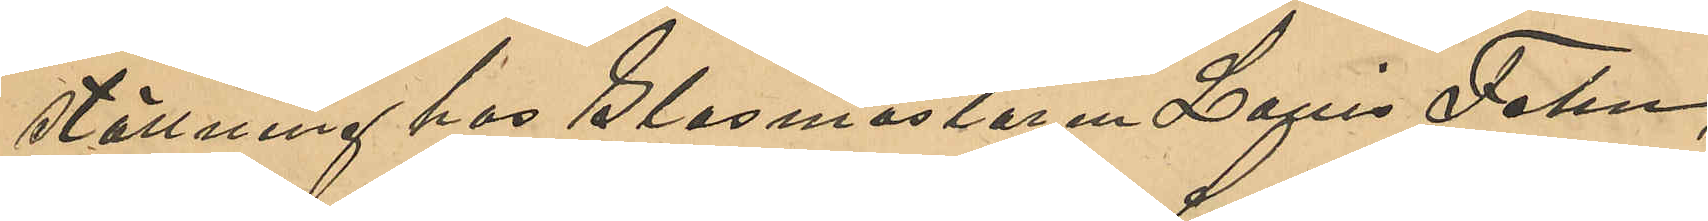ställning hos Glasmästaren Louis Fehn
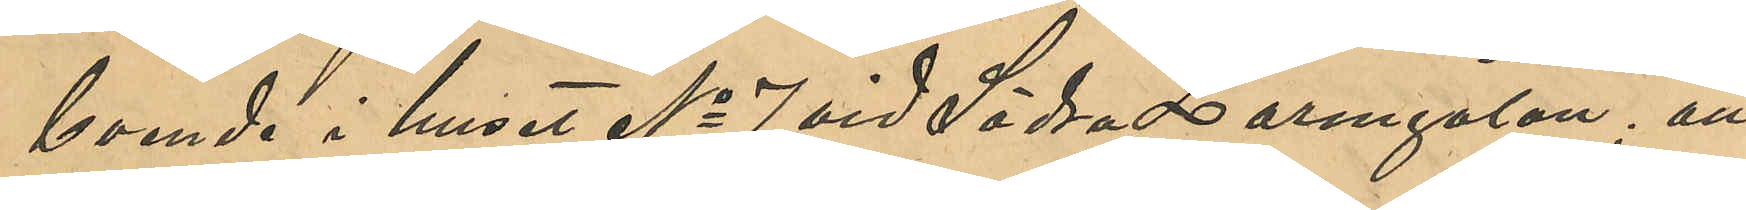boende i huset No 7 vid Södra Larmgatan; att
